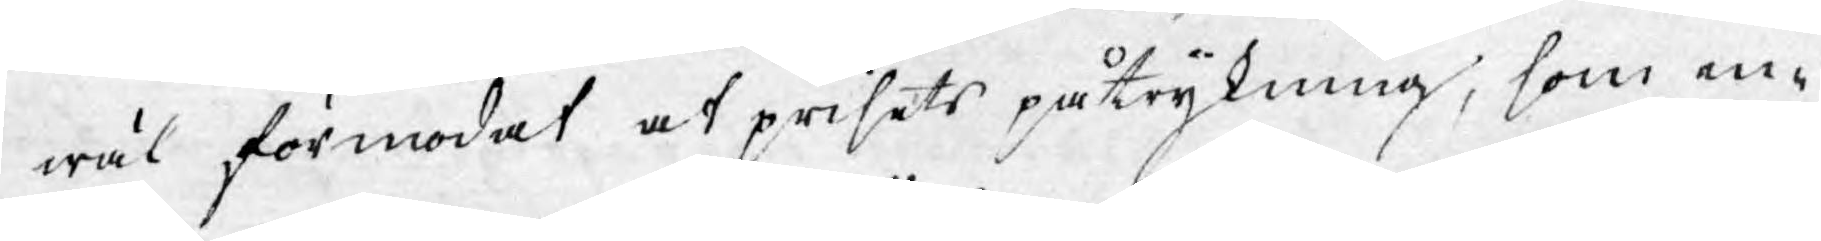wäl förmodat at prisets påtryckning, som en-
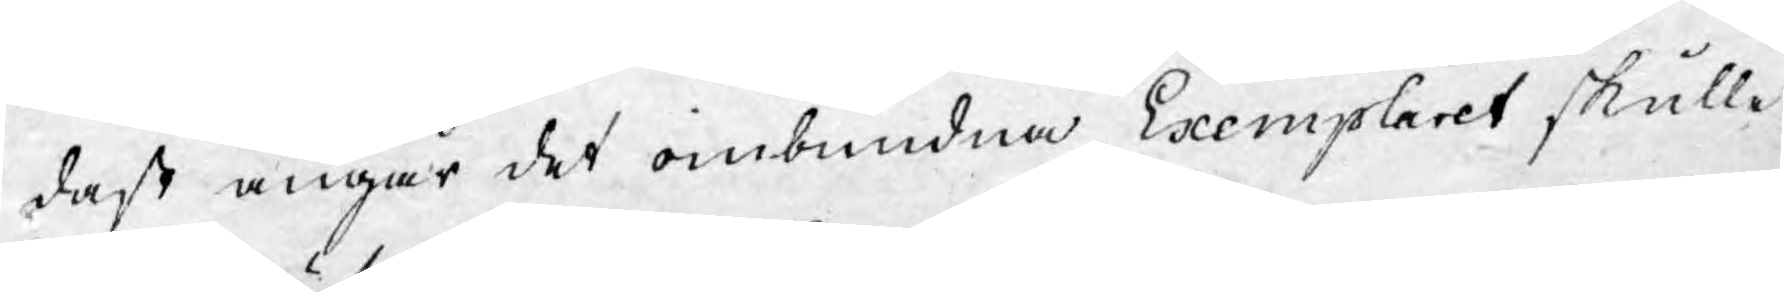dast angår det oinbundna Exemplaret, skulle
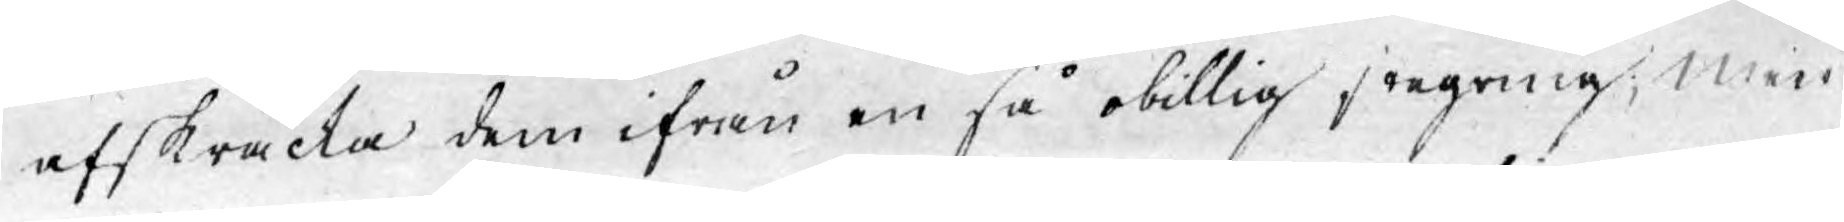afskräcka dem ifrån en så obillig stegring; Men
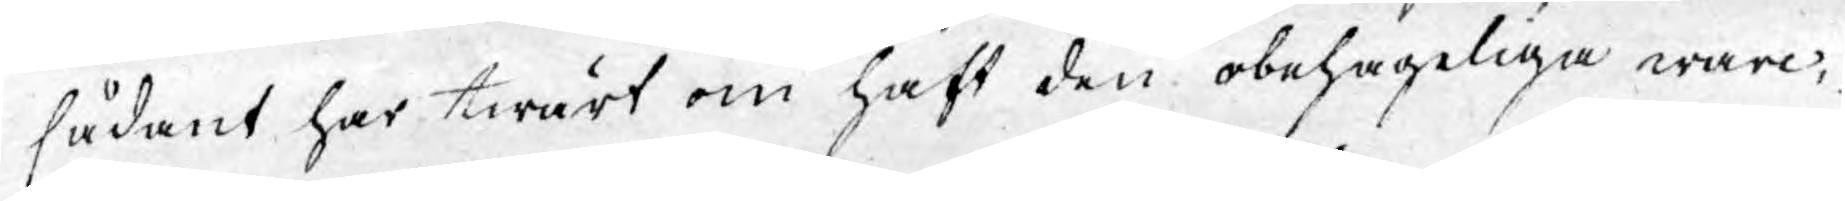sådant har twärt om haft den obehageliga warc¬
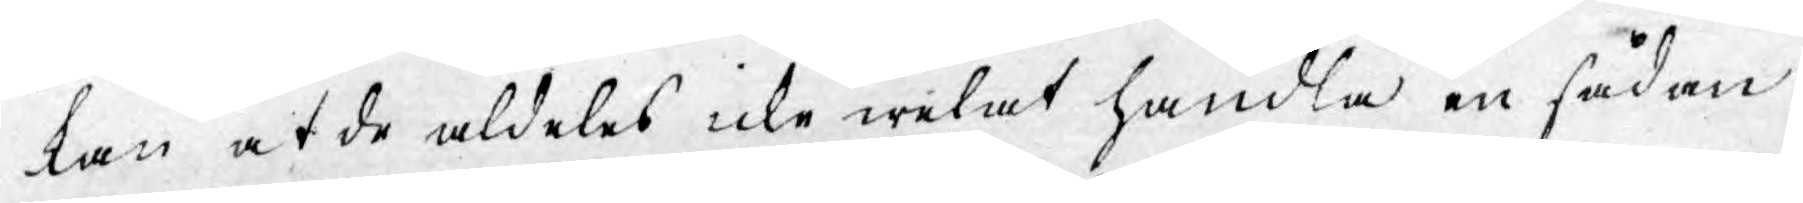kan at de aldeles icke welat handla en sådan
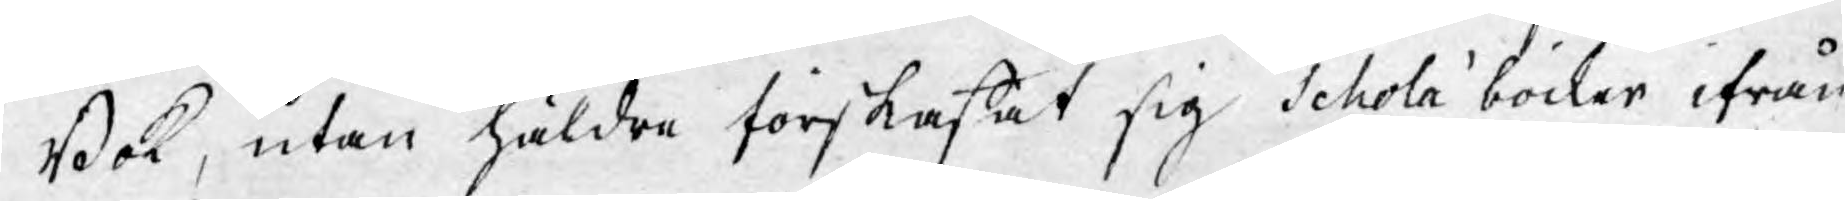Bok, utan häldre förskaffat sig Schola böcker ifrån
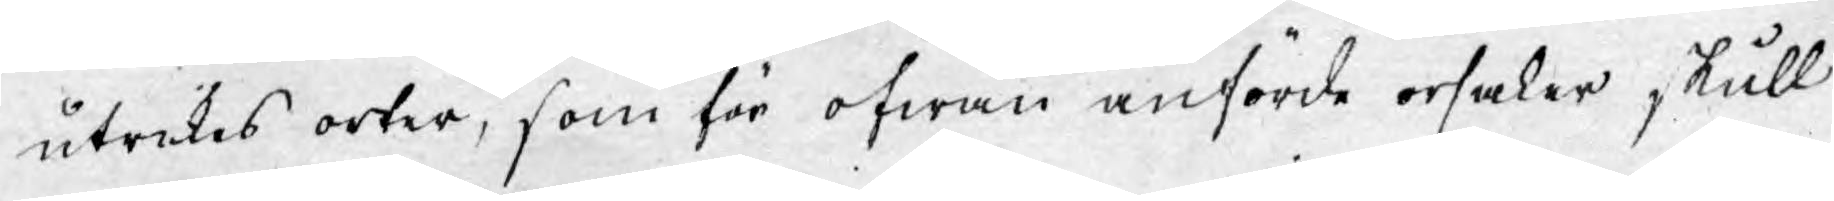utrikes orter, som för ofwan anförde orsaker, skulle
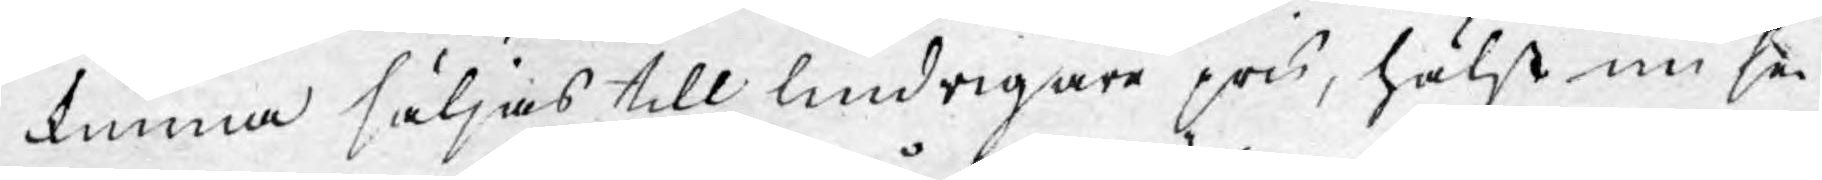kunna säljas till lindrigare pris, hälst nu se¬
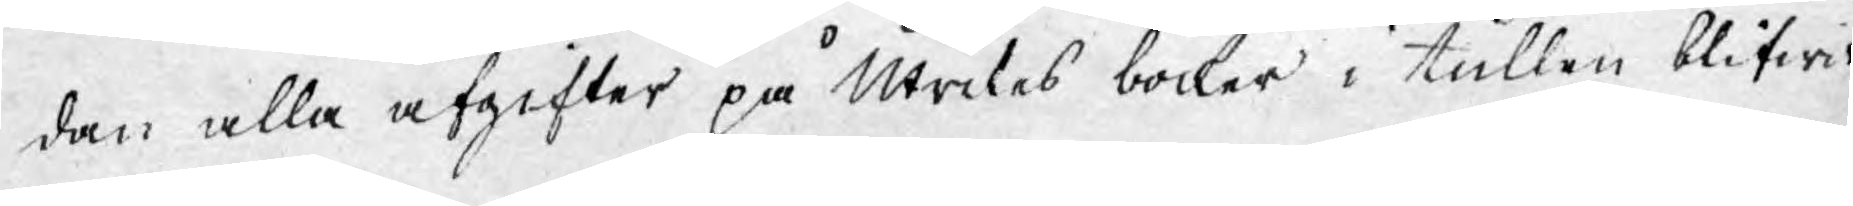dan alla afgifter på Utrikes böcker i tullen blifwit
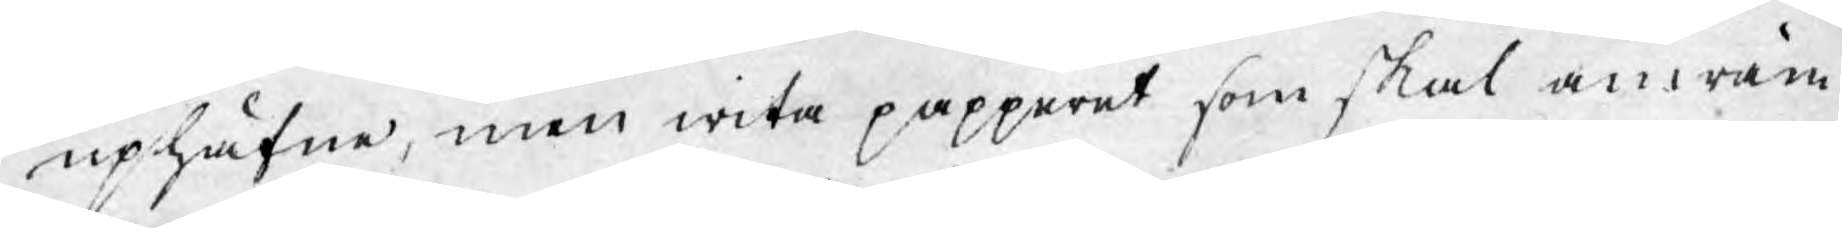uphäfne, men wita papperet som skal använ¬
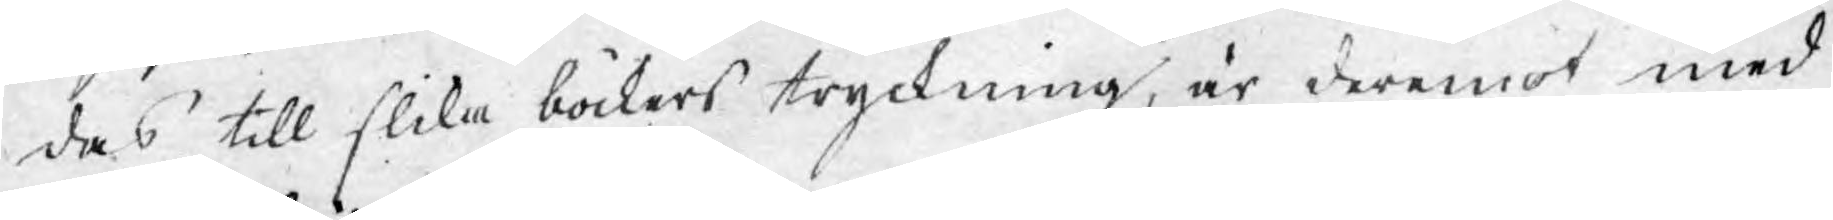das till slika böckers tryckning, är deremot med
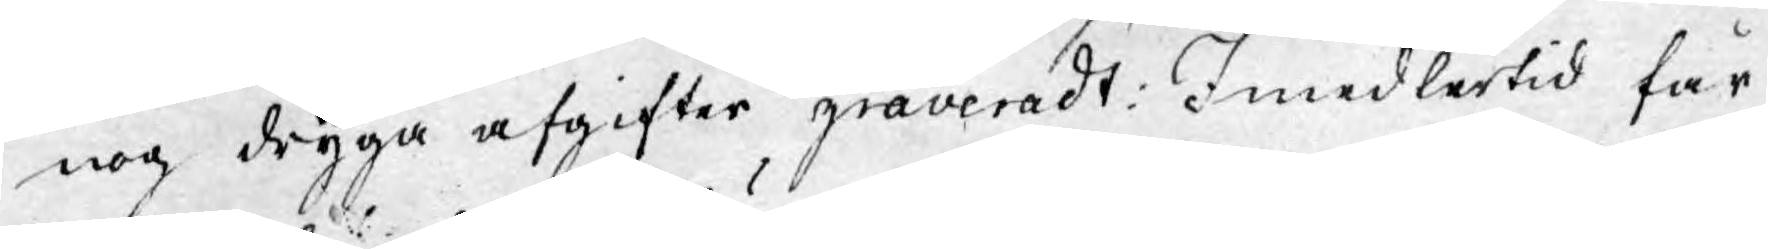nog dryga afgifter graveradt: Imedlertid får
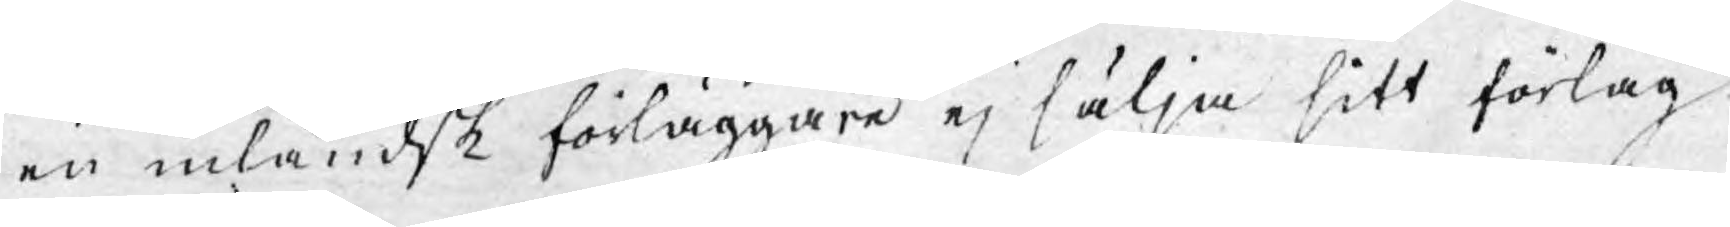en inländsk förläggare ej sälja sitt förlag
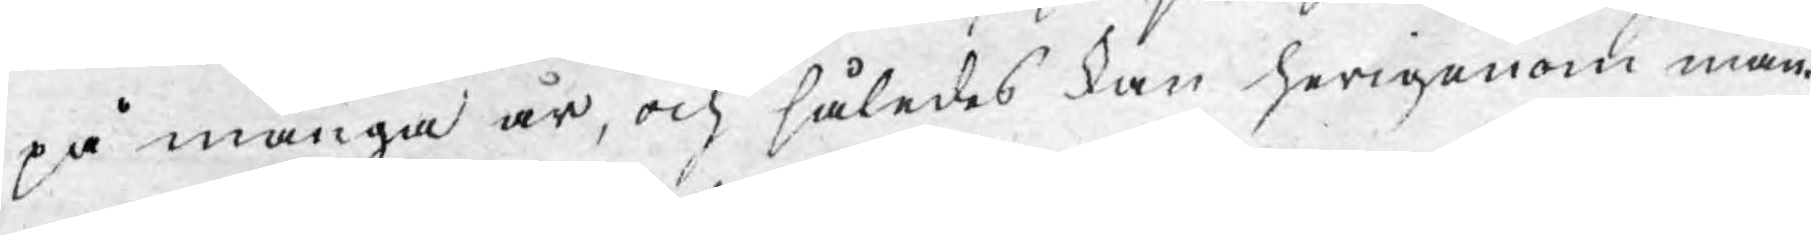på många år, och således kan herigenom mån¬
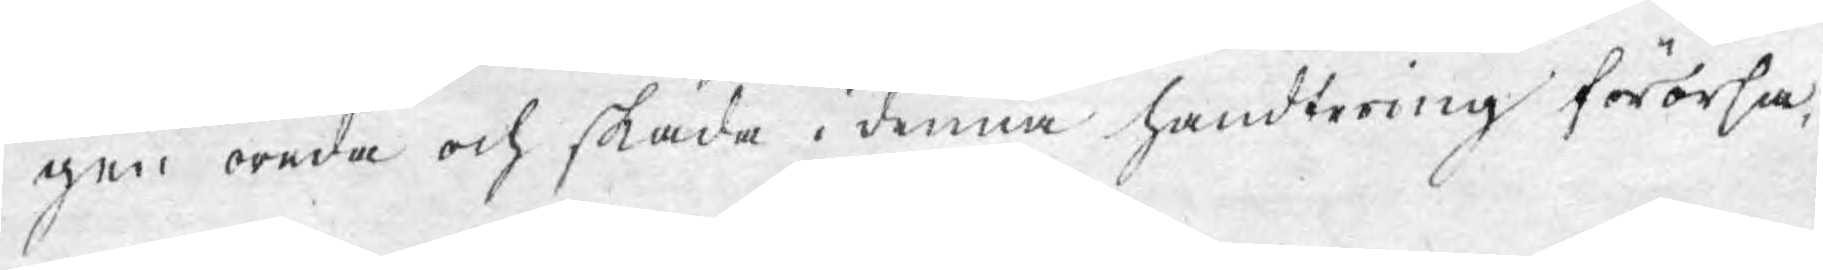gen oreda och skada i denna handtering förorsa¬
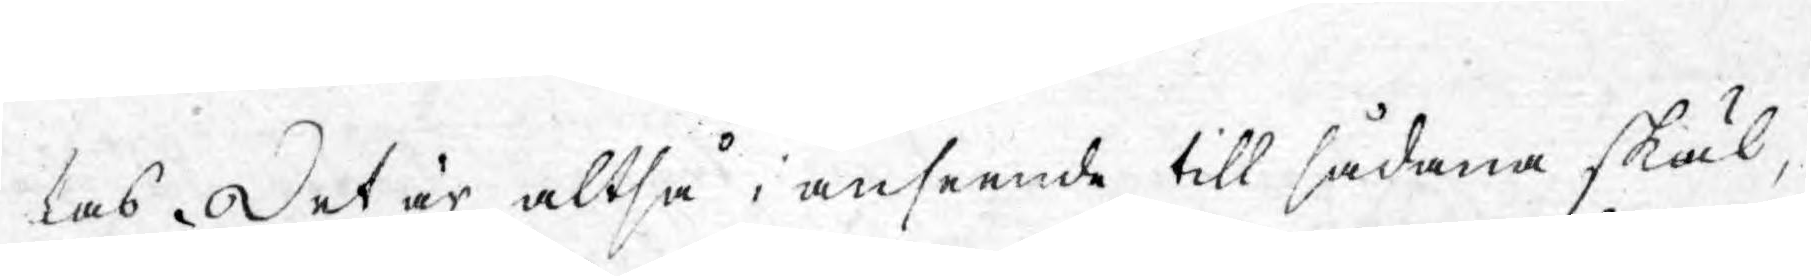las. Det är altså i anseende till sådana skäl,
